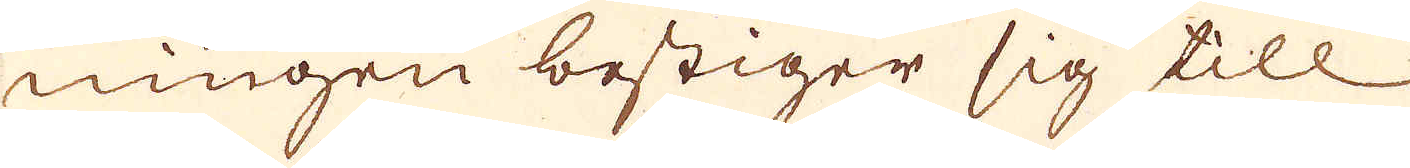ningen bestiger sig till
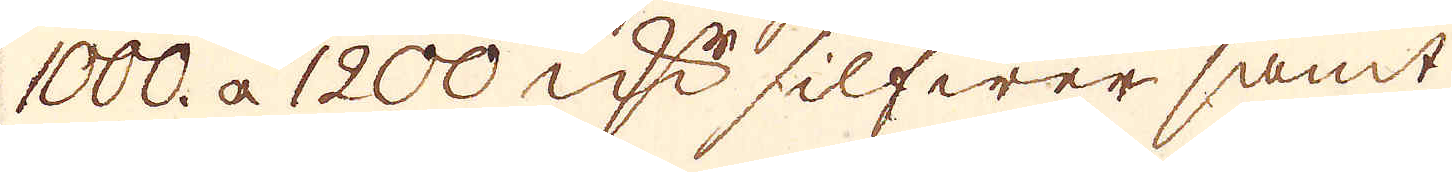1000. a 1200 qw:r silfwer samt
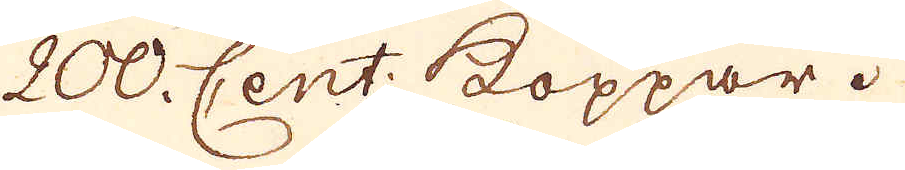200. Cent: Koppar.
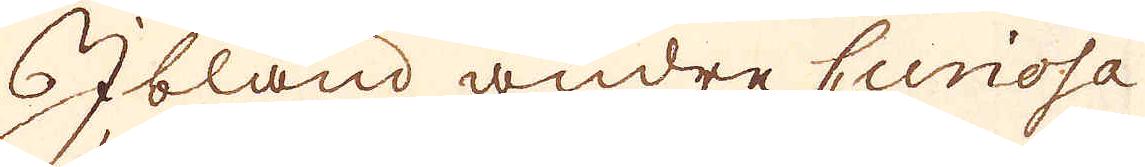Ibland andre curiosa
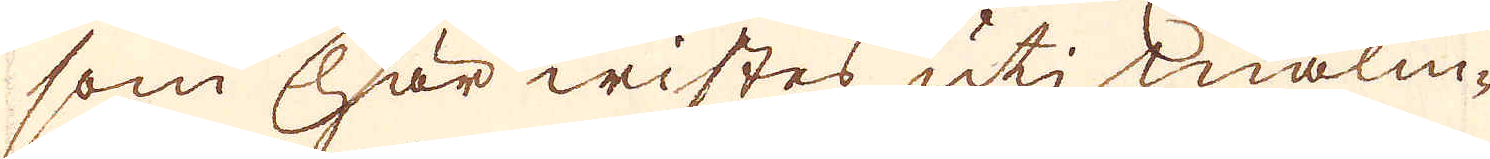som här wistes uti malm-
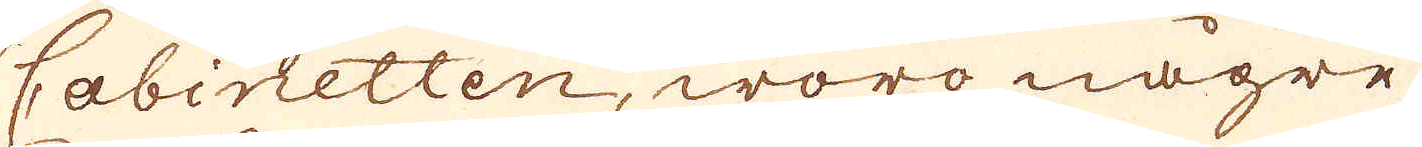Cabinetten, woro någre
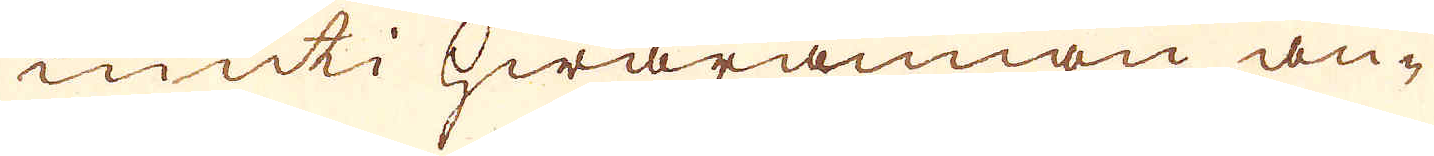inuti hwarannan an-
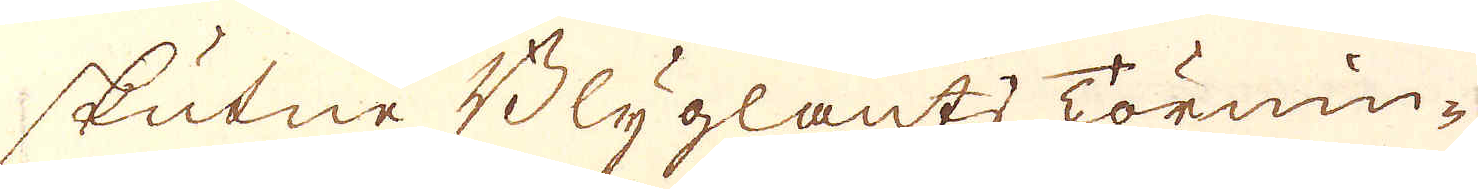skutne Blyglants Törnin-
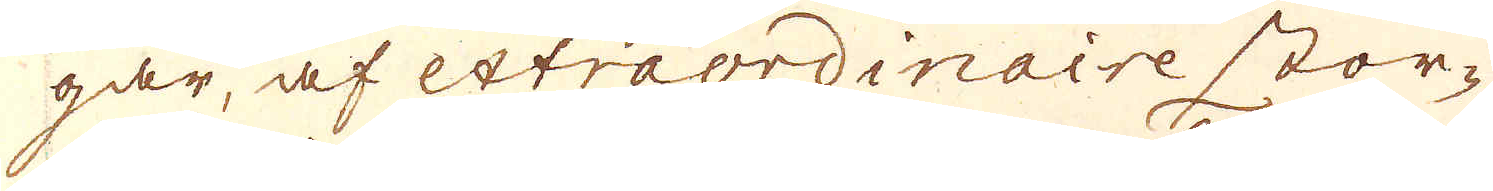gar, af extraordinaire stor-
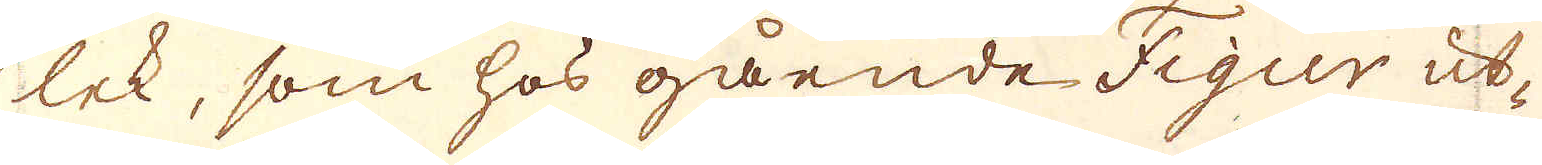lek, som hos gående Figur ut-
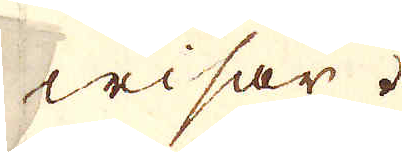wisar.
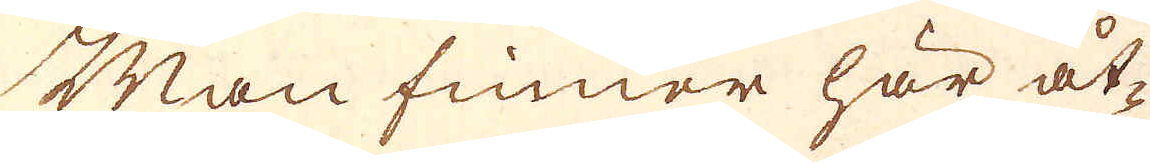Man finner här åt-
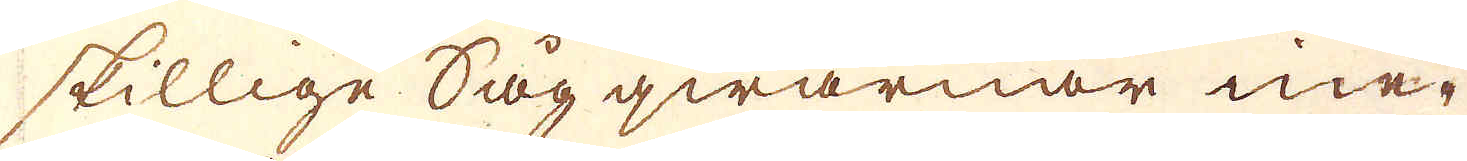skillige Sågqwarnar ine-
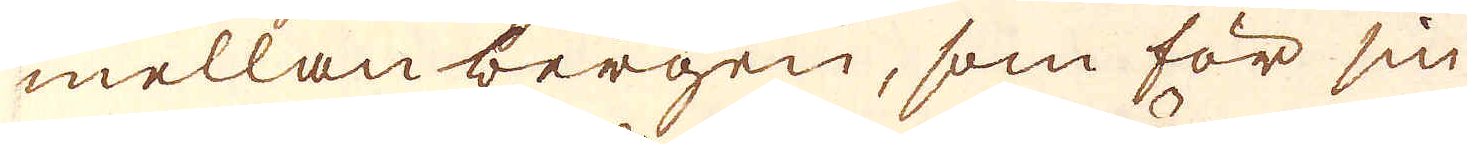mellan bergen, som för sin
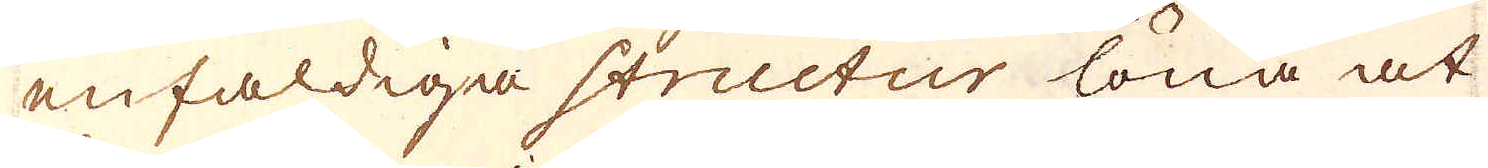enfaldiga structur löna at
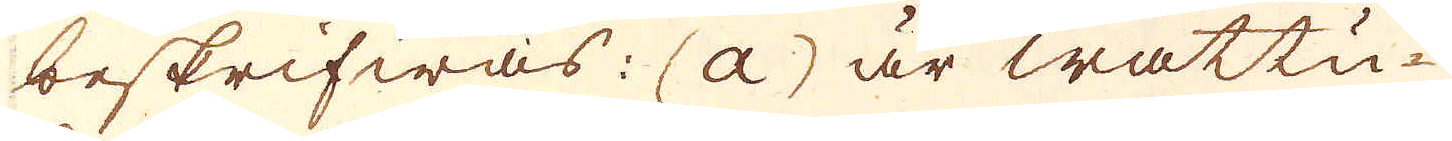beskrifwas: (a) är wattu-
